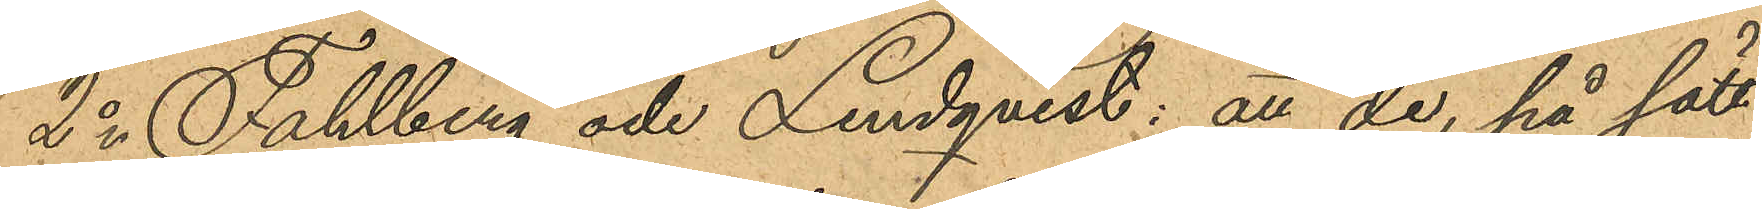2o Fahlberg och Lindqvist: att de, på sätt
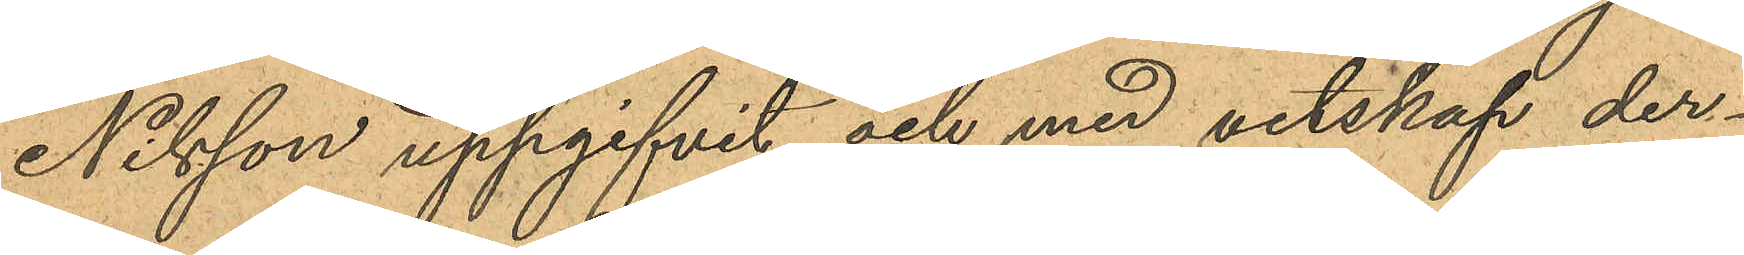Nilsson uppgifvit och med vetskap der¬
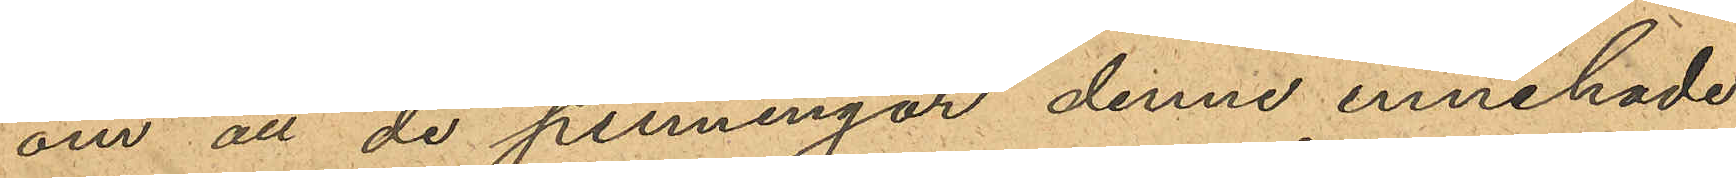om att de penningar denne innehade
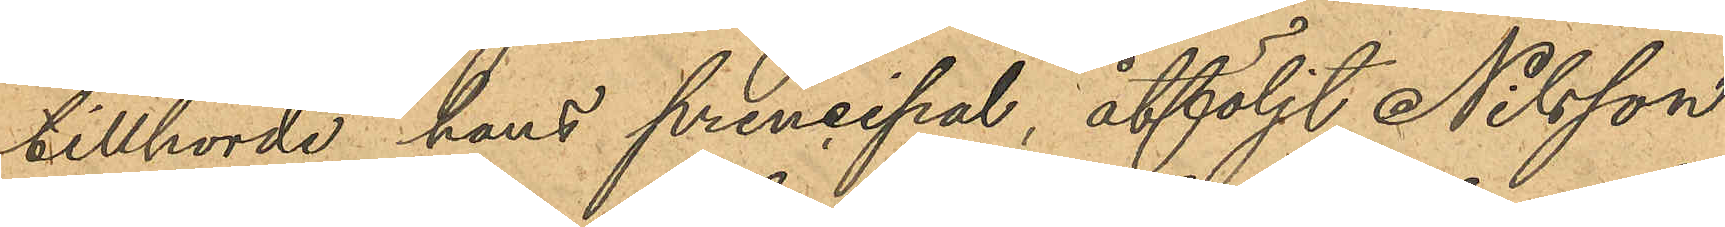tillhörde hans principal, åtföljt Nilsson
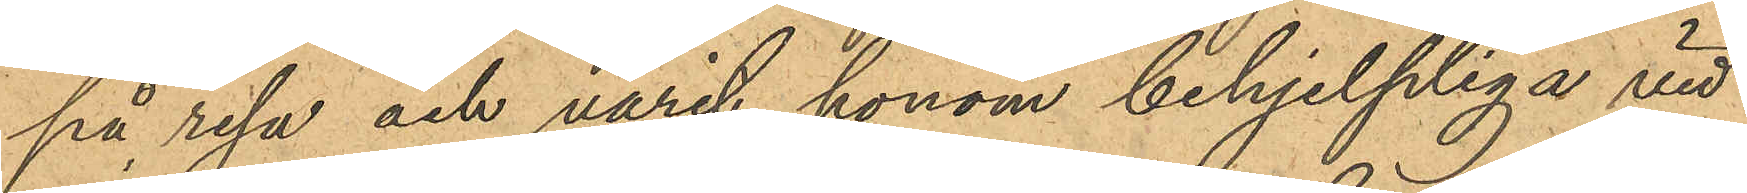på resa och varit honom behjelpliga vid
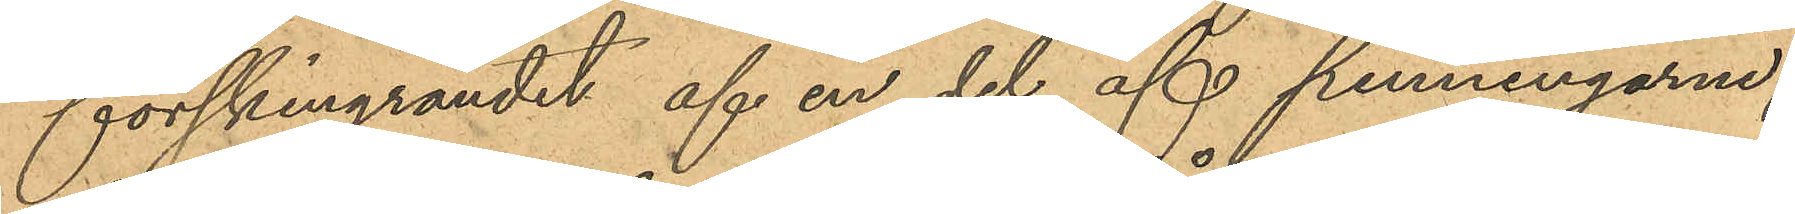förskingrandet af en del af penningarne;
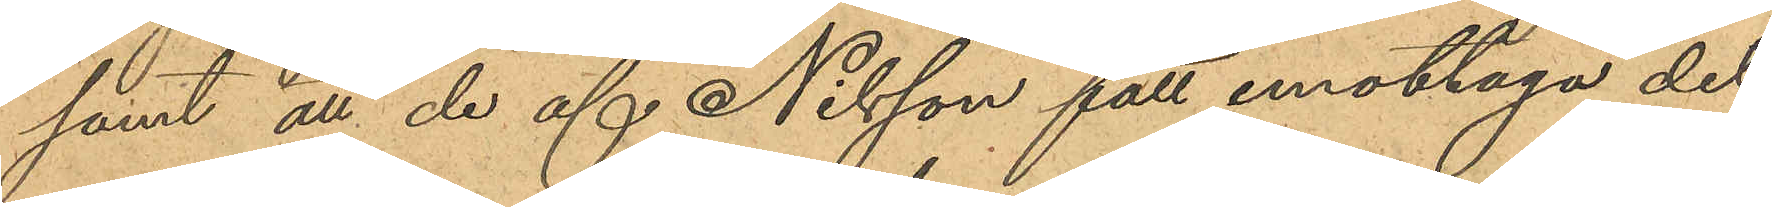samt att de af Nilsson fått emottaga det
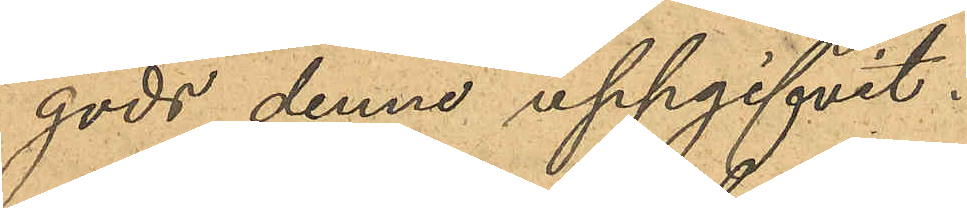gods denne uppgifvit.
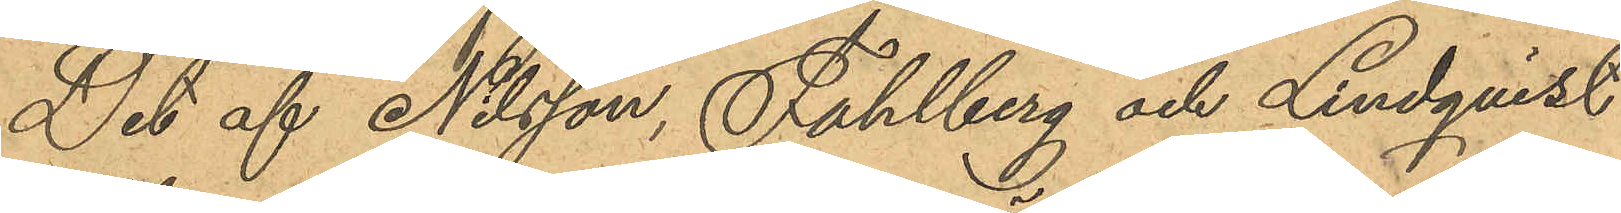Det af Nilsson, Fahlberg och Lindqvist
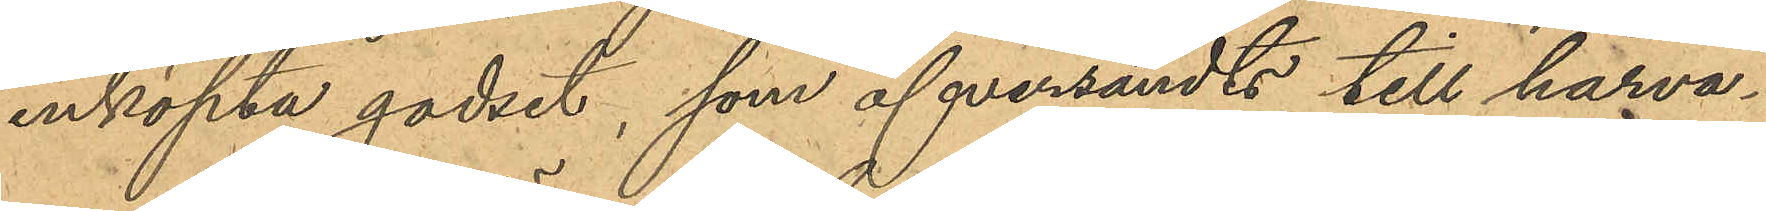inköpta godset, som öfversändts till härva¬
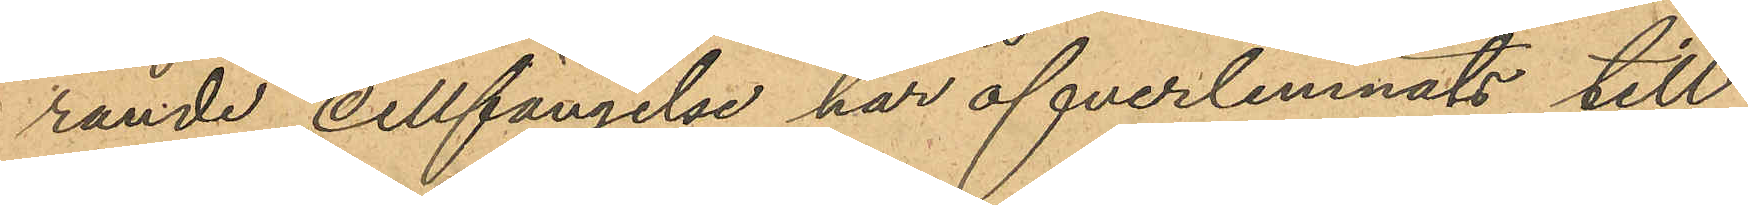rande Cellfängelse har öfverlemnats till
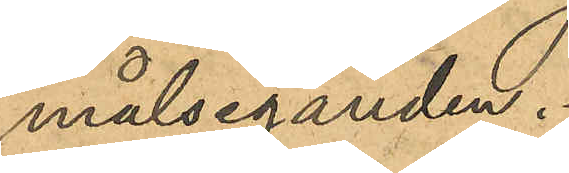målseganden.
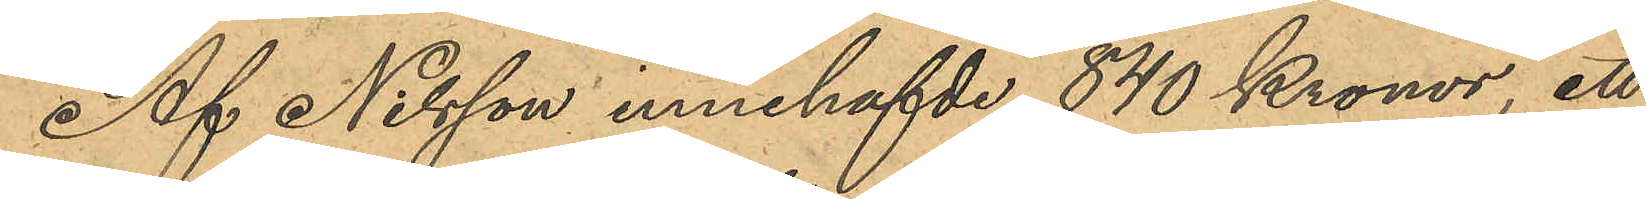Af Nilsson innehafvde 840 Kronor, ett
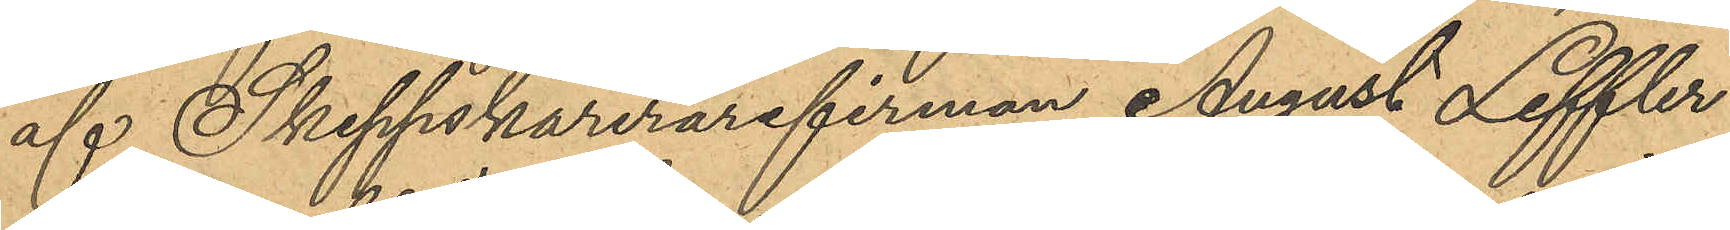af Skeppsklarerarefirman August Leffler
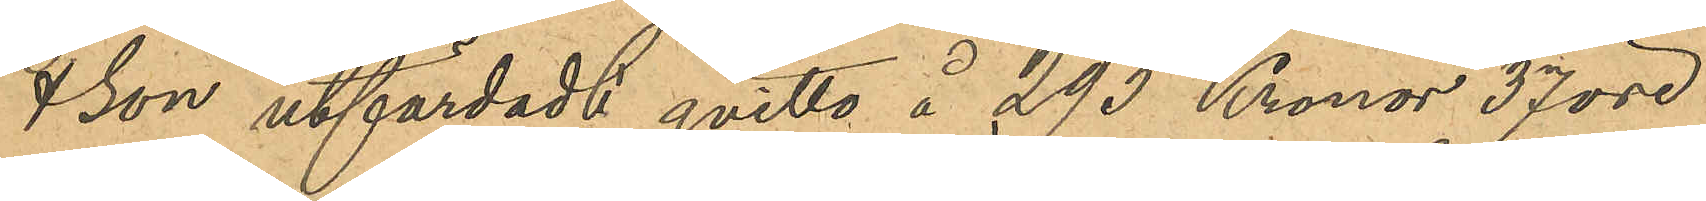& Son utfärdadt qvitto å 293 Kronor 37 öre
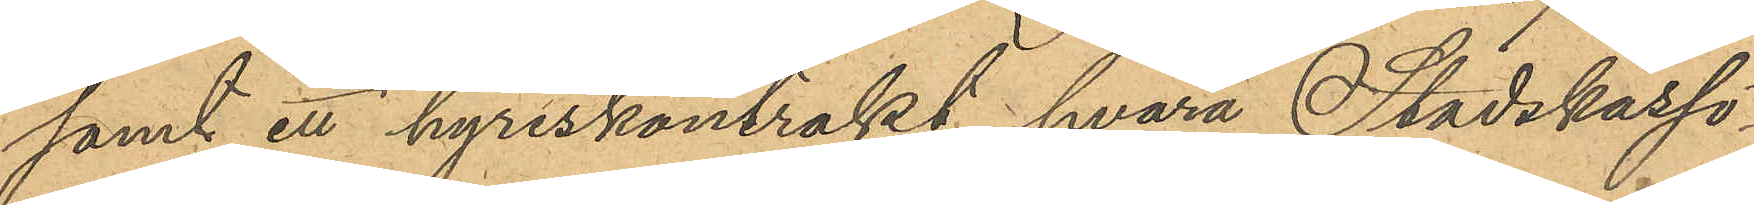samt ett hyreskontrakt hvarå Stadskassö¬
